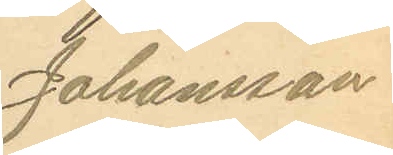Johansson
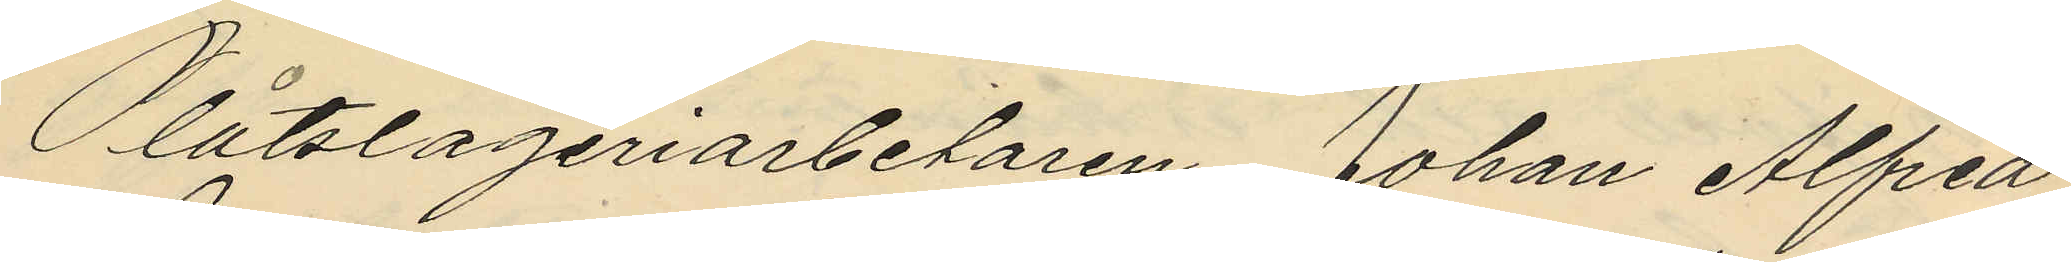Plåtslageriarbetaren Johan Alfred
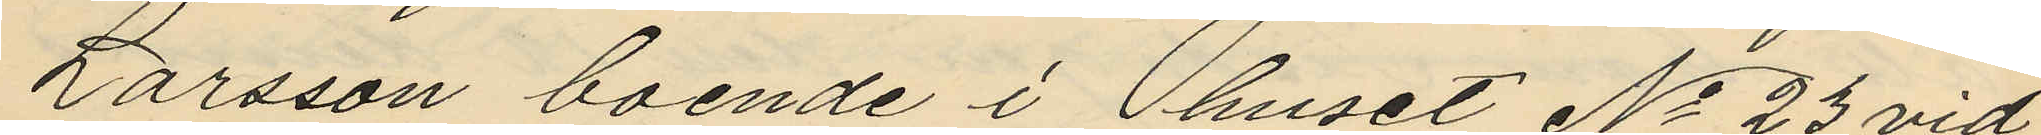Larsson boende i huset No 23 vid
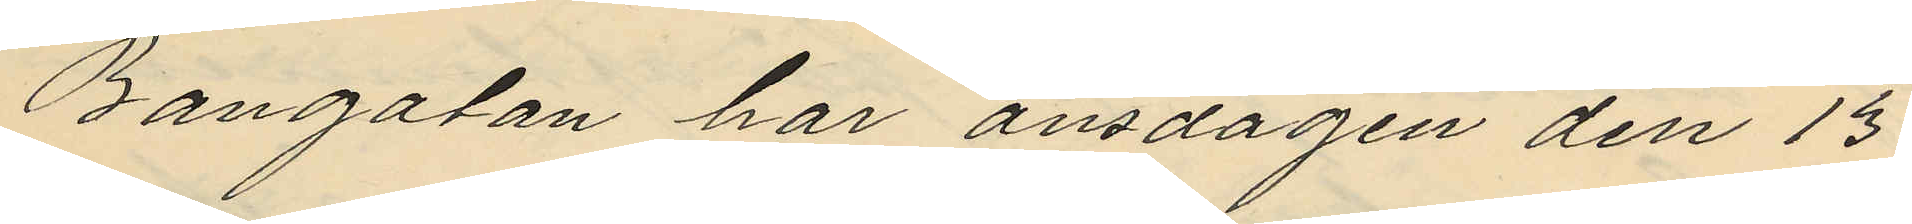Bangatan har onsdagen den 13
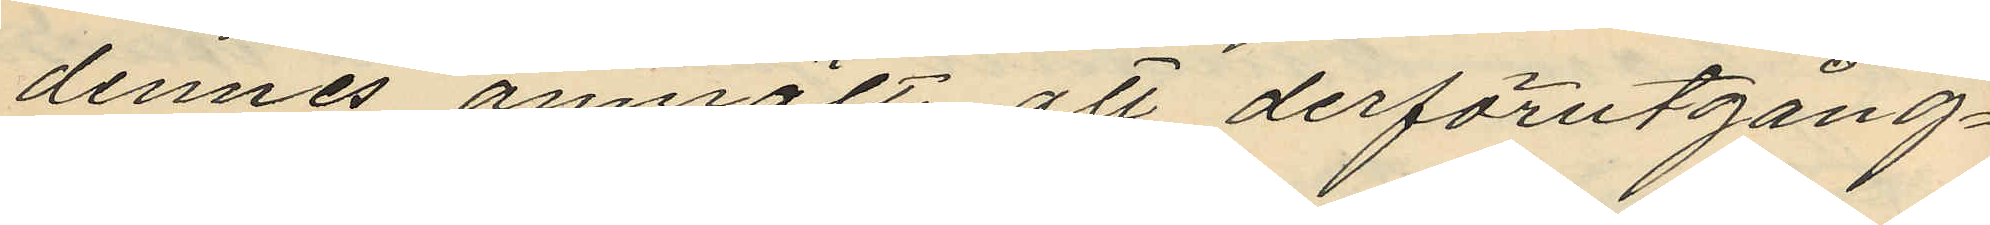dennes anmält att derförutgång¬
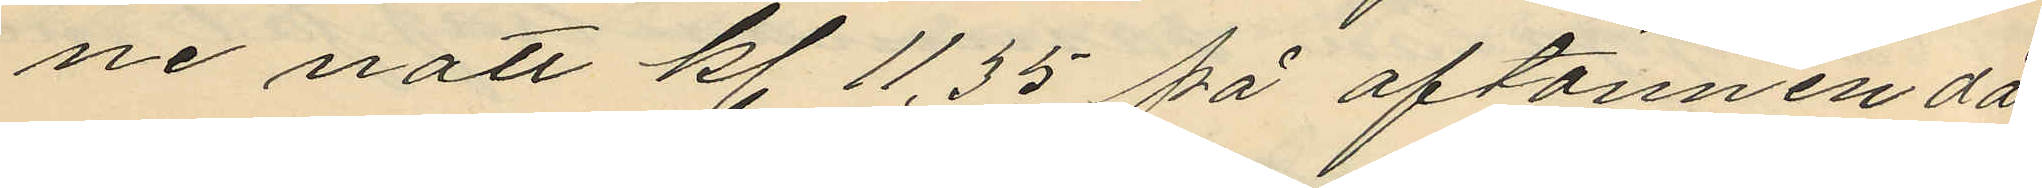ne natt kl. 11,35 på aftonnen då
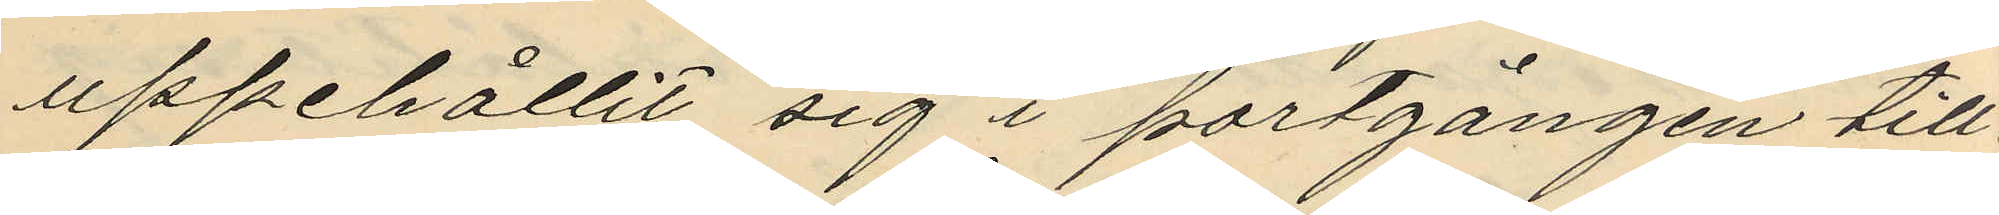uppehållit sig i portgången till
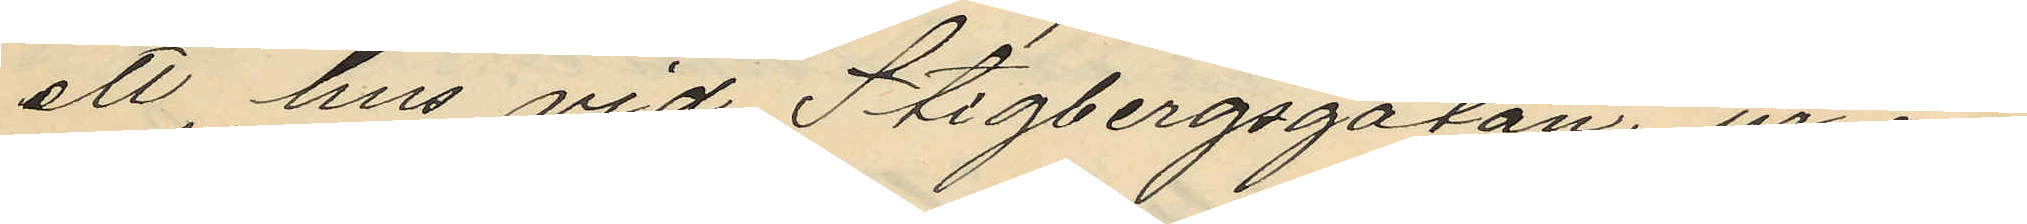ett hus vid Stigbergsgatan, ur ena
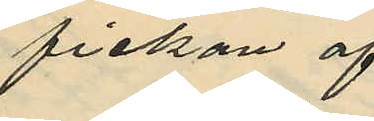fickan af
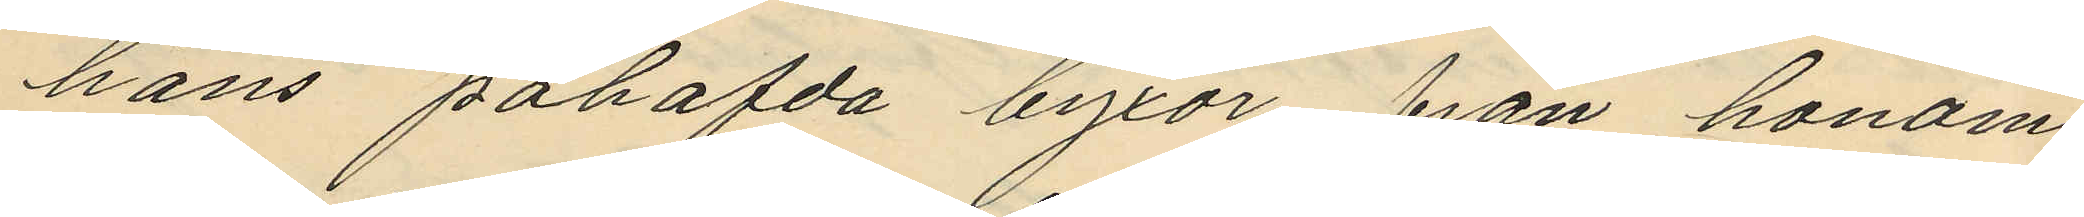hans påhafda byxor från honom
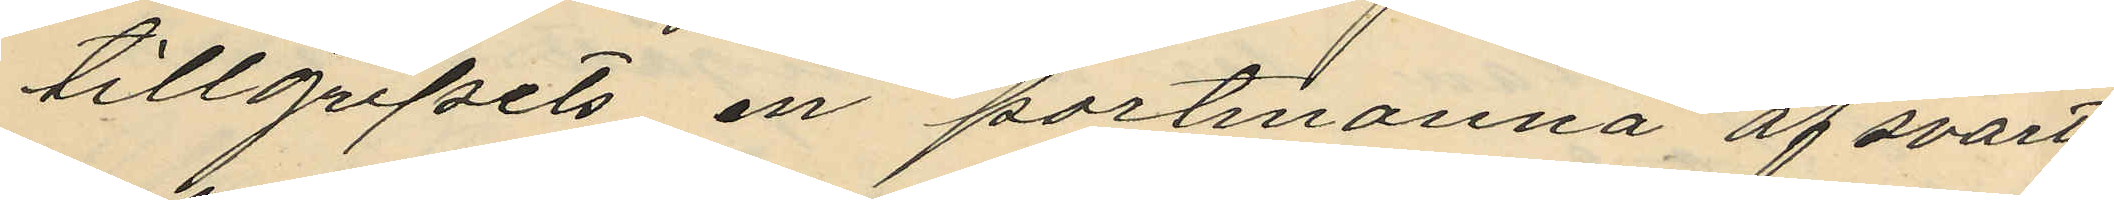tillgripits en portmonnä af svart
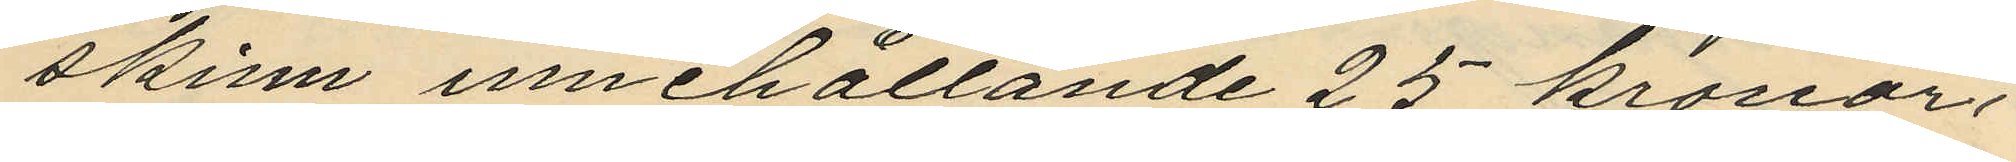skinn innehållande 25 kronor,
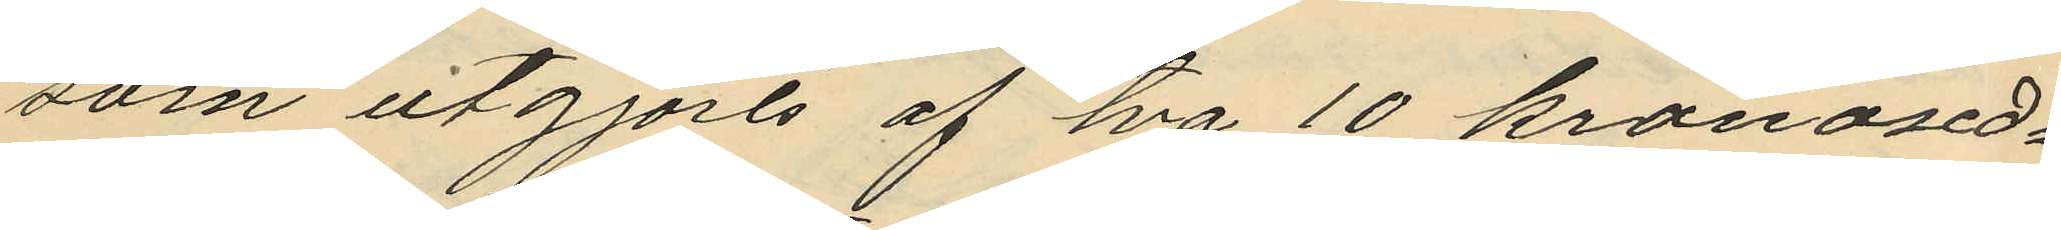som utgjorts af två 10 kronosed¬
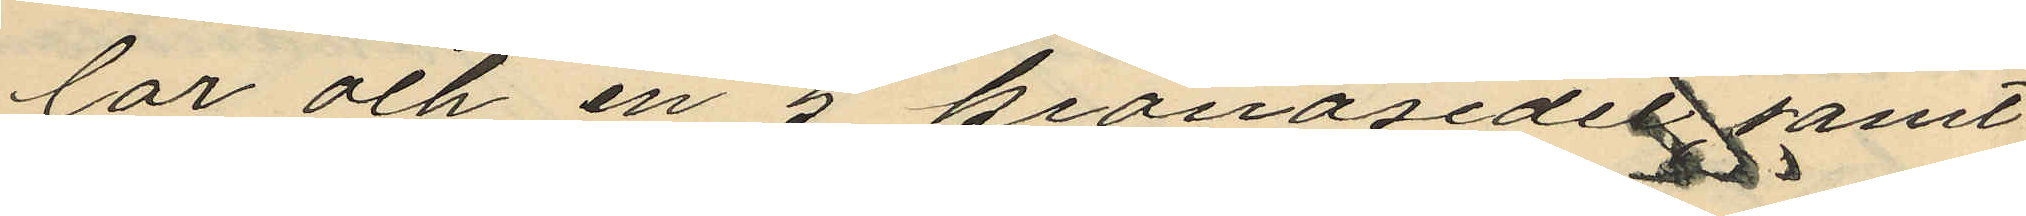lar och en 5 kronosedel samt
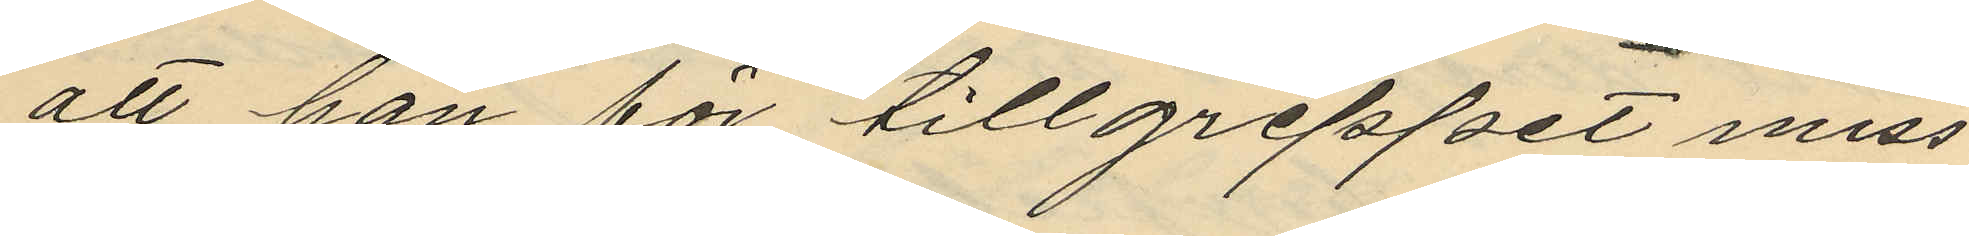att han för tillgreppet miss
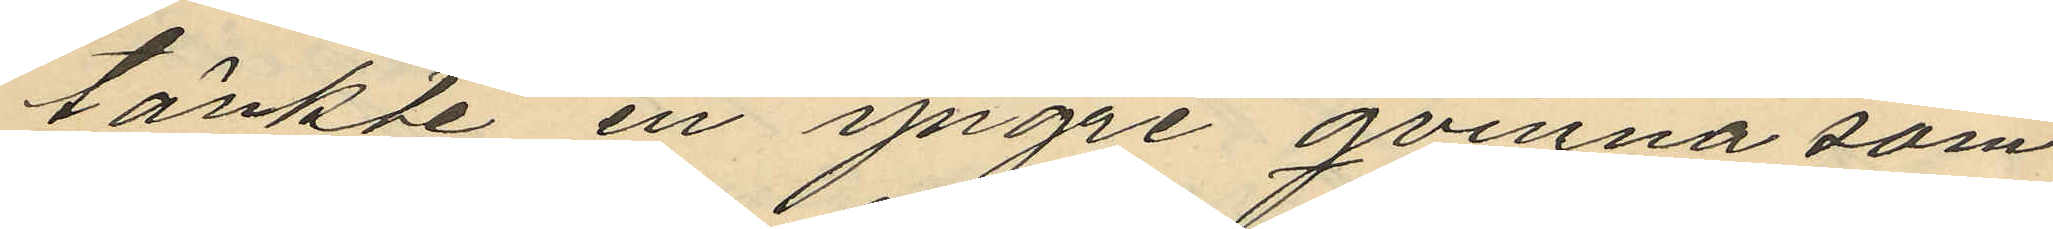tänkte en yngre qvinna som
